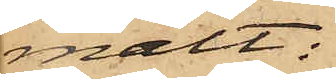mält:
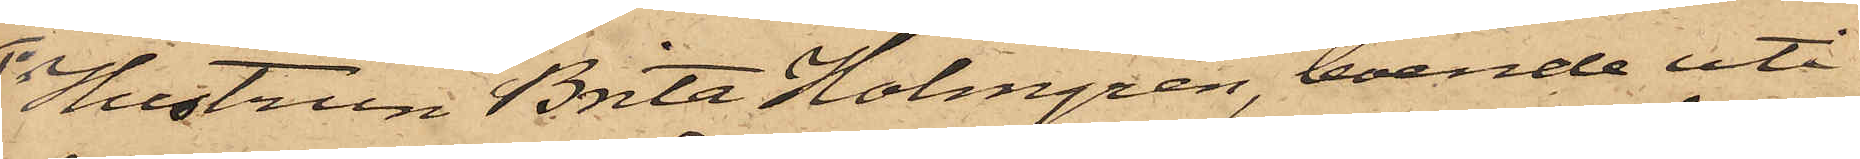1o Hustrun Brita Holmgren, boende uti
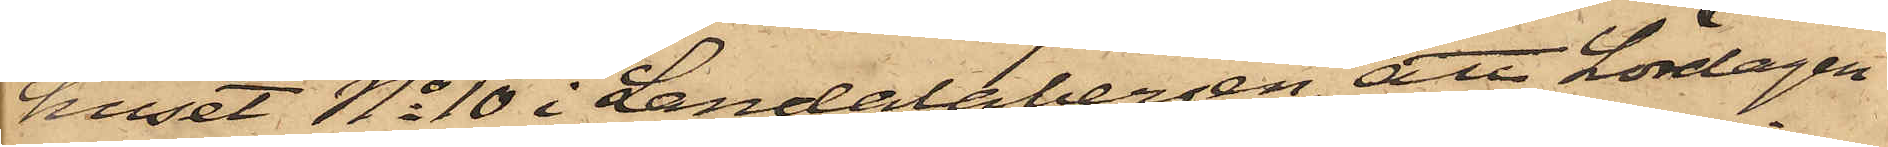huset No 10 i Landalabergen, att Lördagen
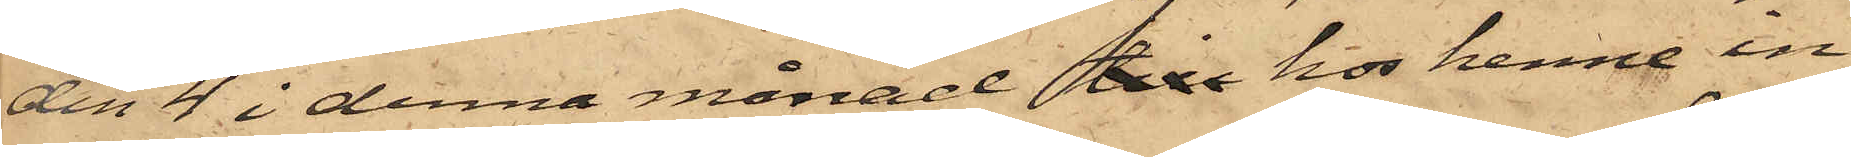den 4 i denna månad till hos henne in¬
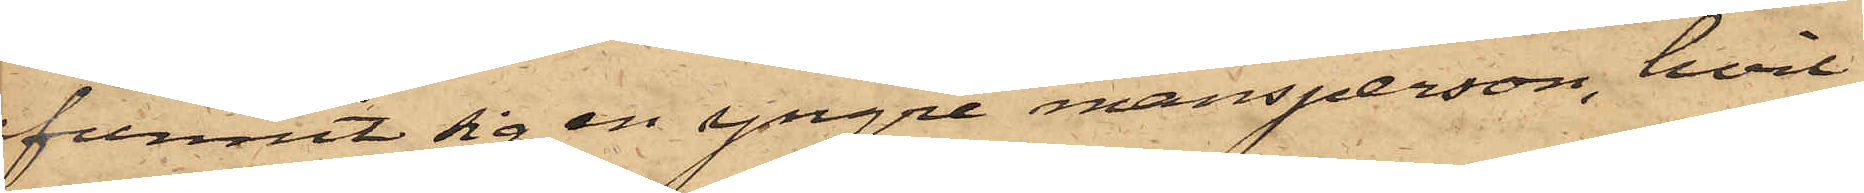funnit sig en yngre mansperson, hvil¬
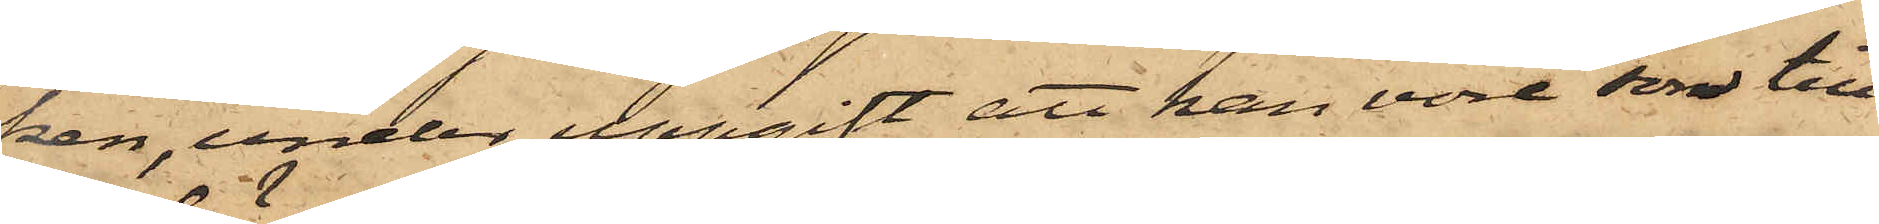ken, under uppgift att han vore son till
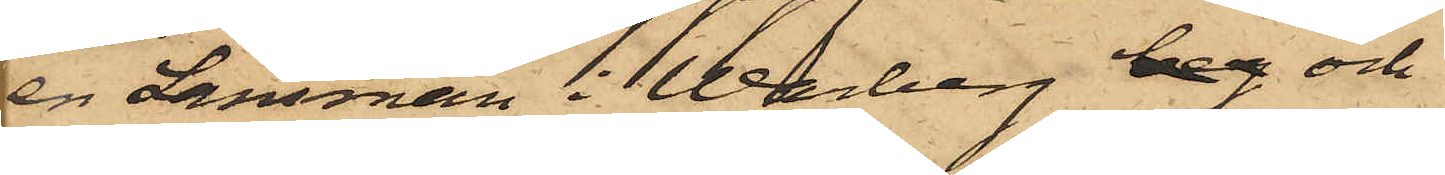en Länsman i Warberg beg och
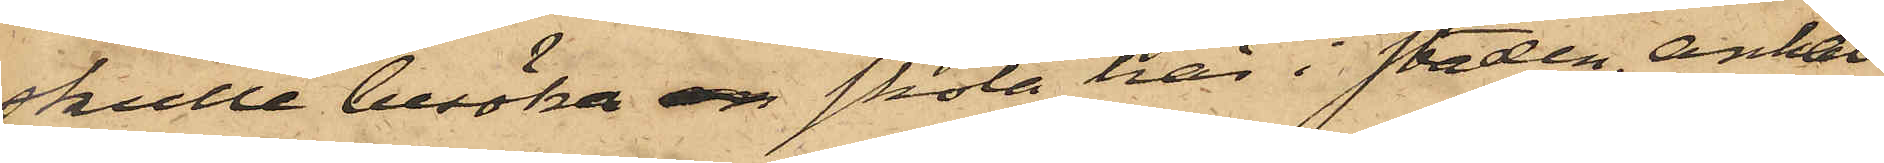skulle besöka en skola här i staden, anhål¬
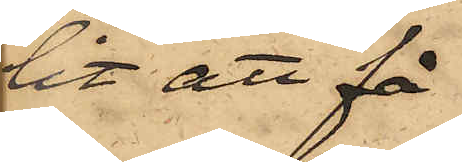lit att få
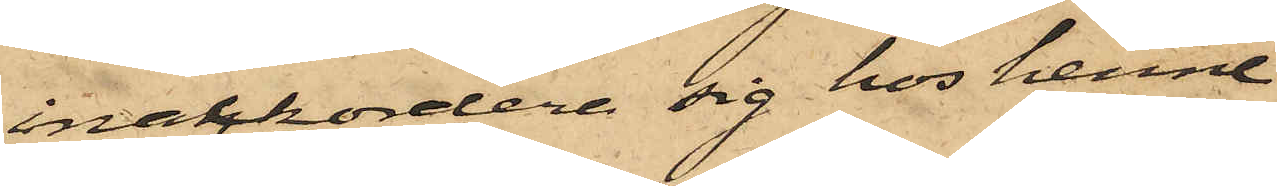inackordera sig hos henne
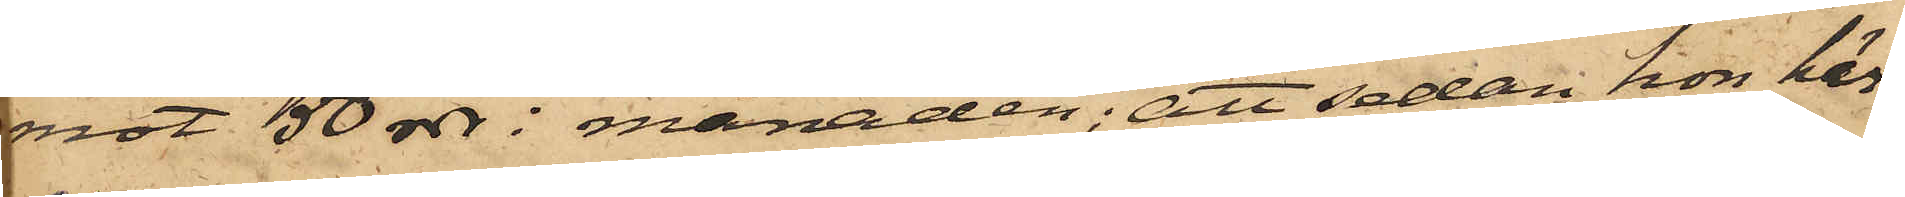mot 50 rdr i månaden; att sedan hon här¬
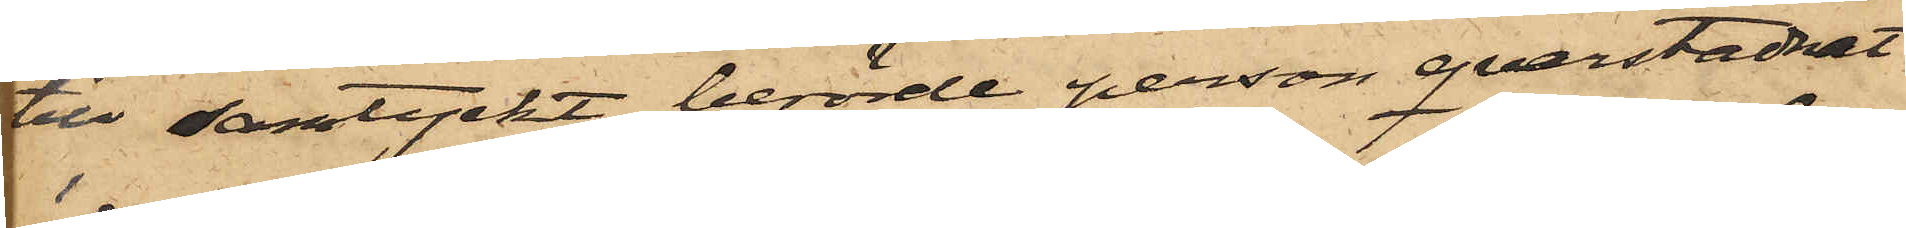till samtyckt, berörde person qvarstadnat
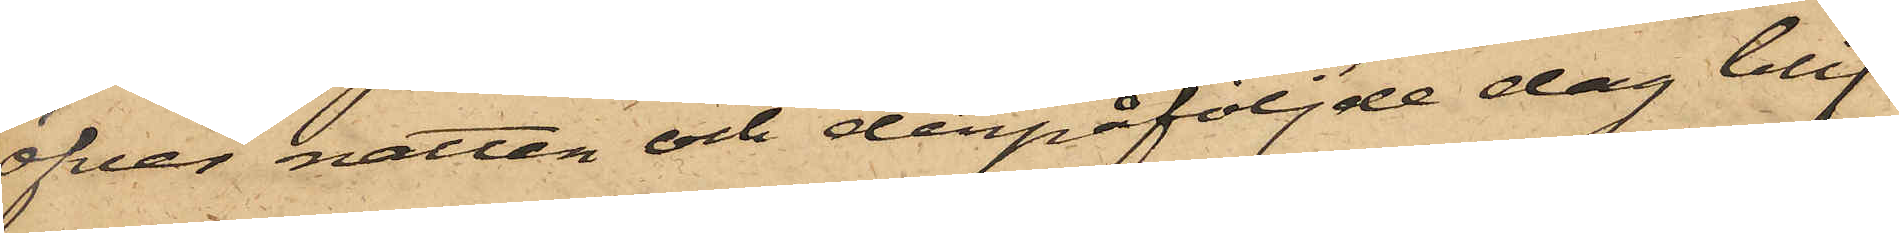öfver natten och derpåföljde dag blif¬
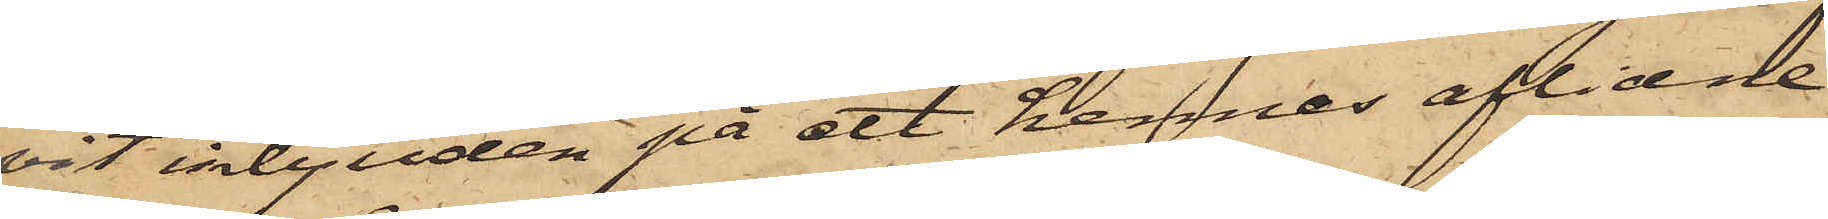vit inbjuden på ett hennes aflidne
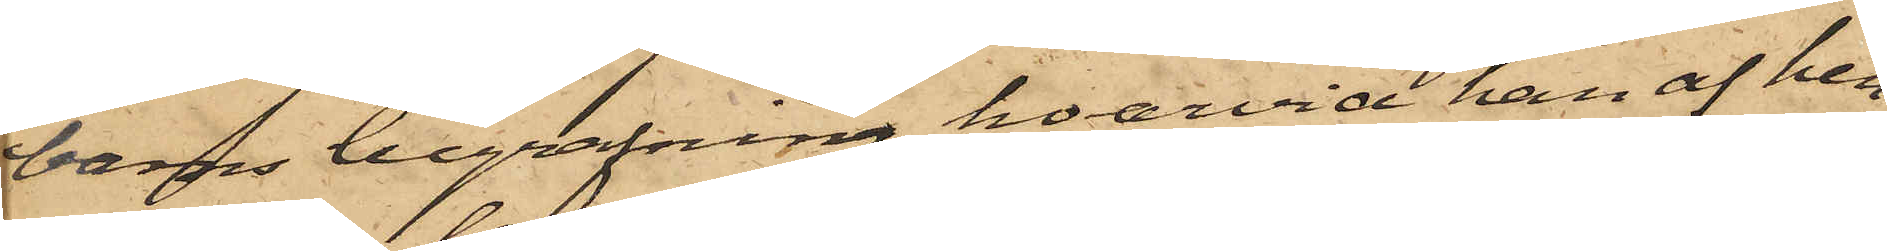barns begrafning, hvarvid han af hen¬
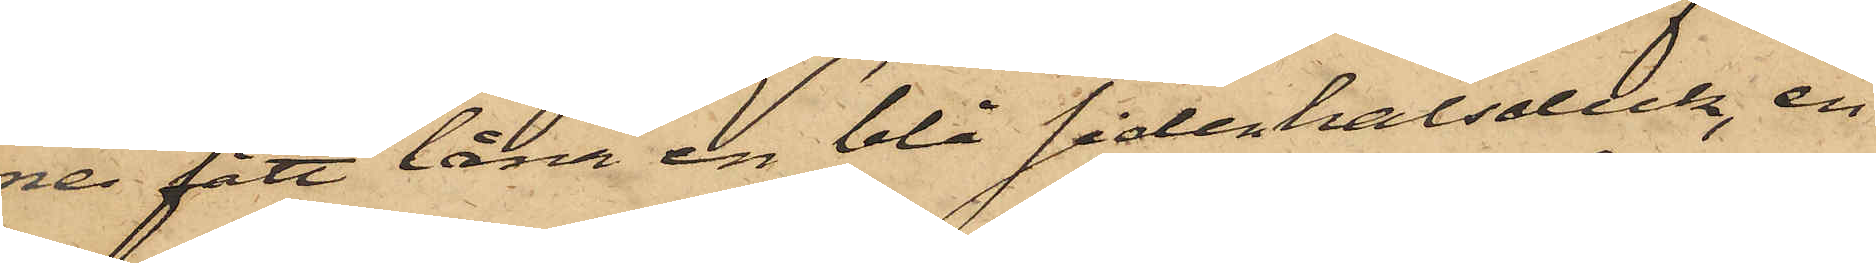ne fått låna en blå sidenhalsduk, en
